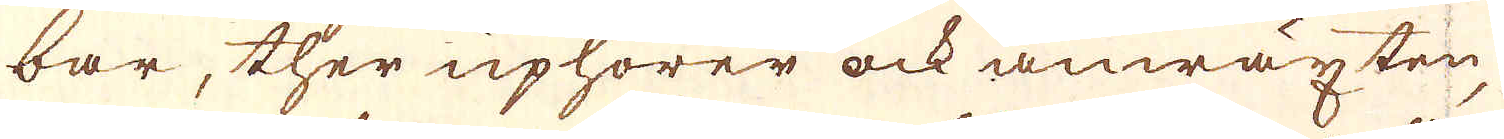bar, ther uphörer ock anwäxten,
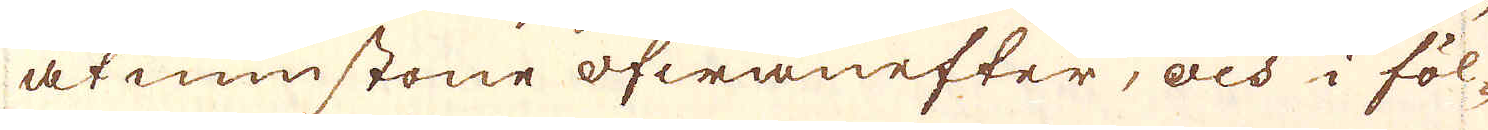åtminstone ofwanefter, och i föl-
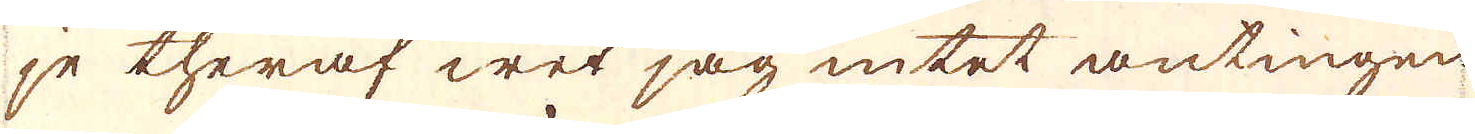je theraf wet jag intet antingen
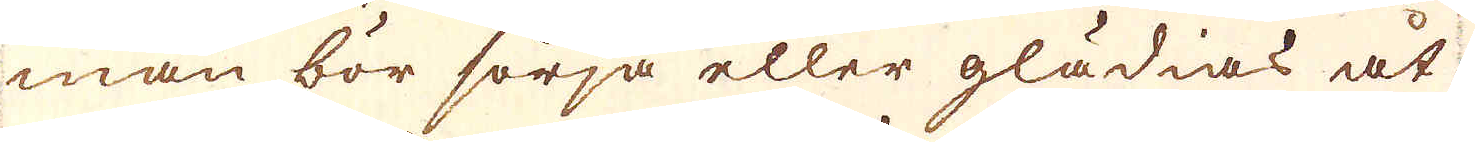man bör sörja eller glädias åt
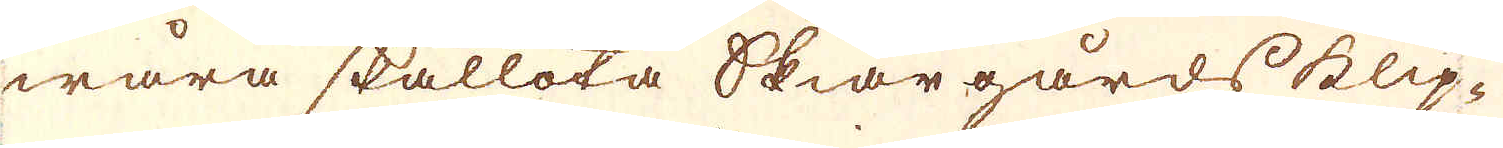wåra skallota skiärgårds klip-
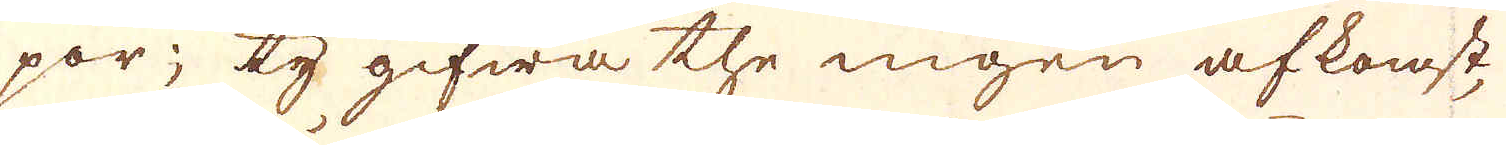por; ty gifwa the ingen afkomst,
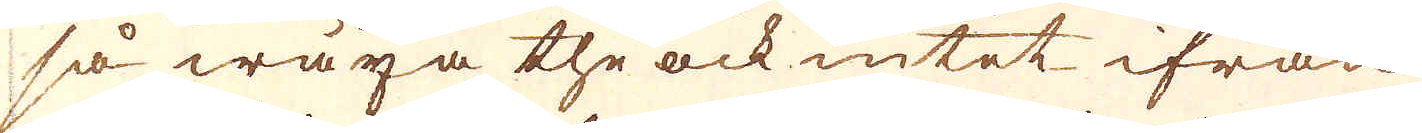så wäxa the ock intet ifrån
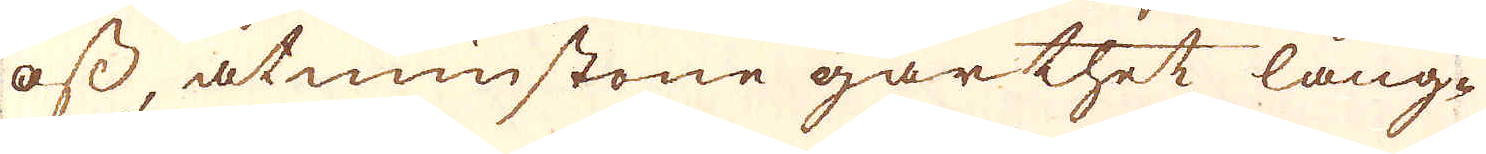oss, åtminstone går thet lång-
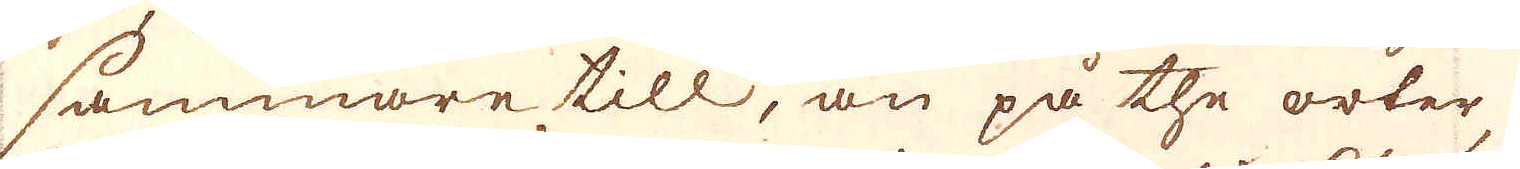sammare till, än på the orter,
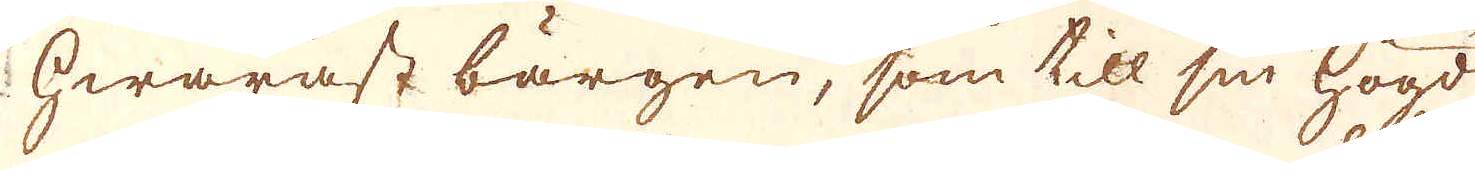hwaräst bärgen, som till sin högd
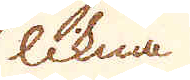likna
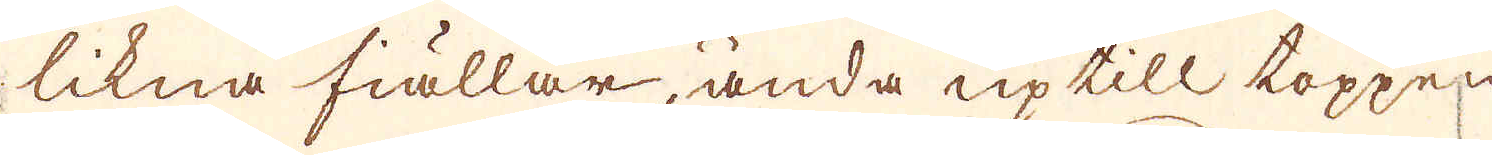likna fiällar, ända uptill toppen
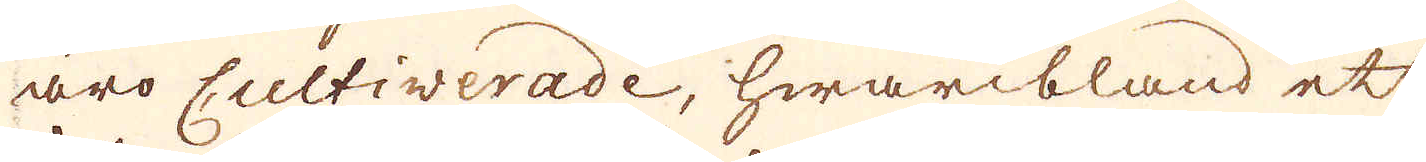äro Cultiverade, hwaribland ett
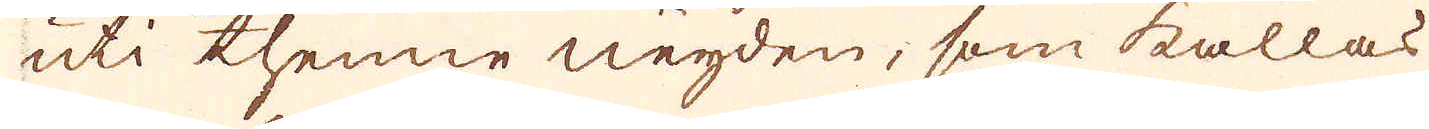uti thenne neyden, som kallas
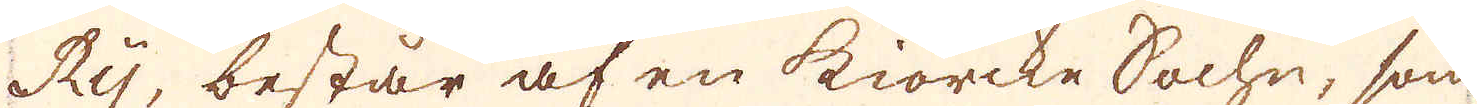Rij, består af en kiörcke Sochn, som
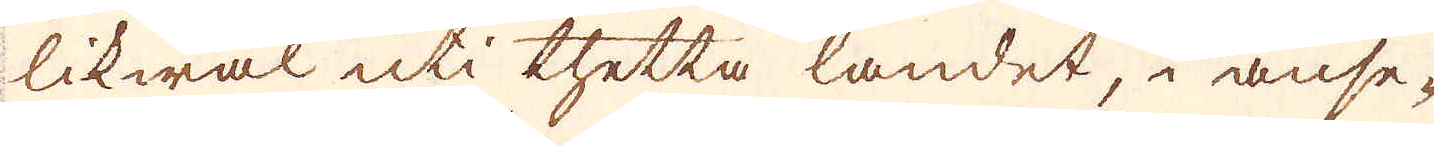likwäl uti thetta landet, i anse-
